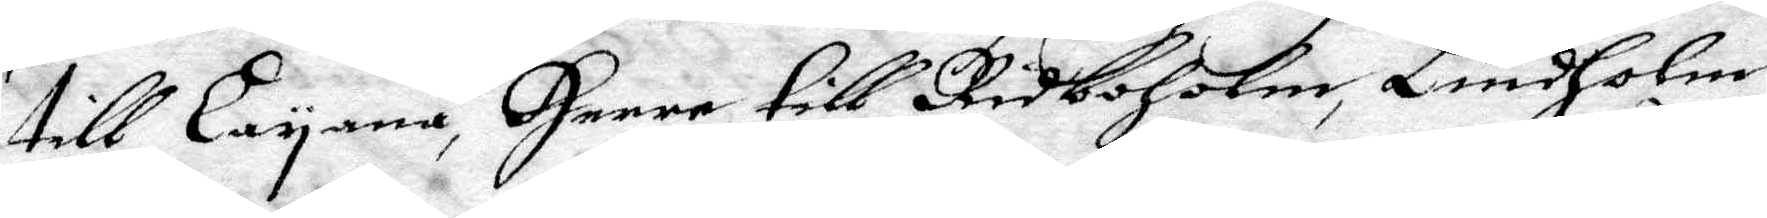till Layana, Herre till Ridboholm, Lindholm,
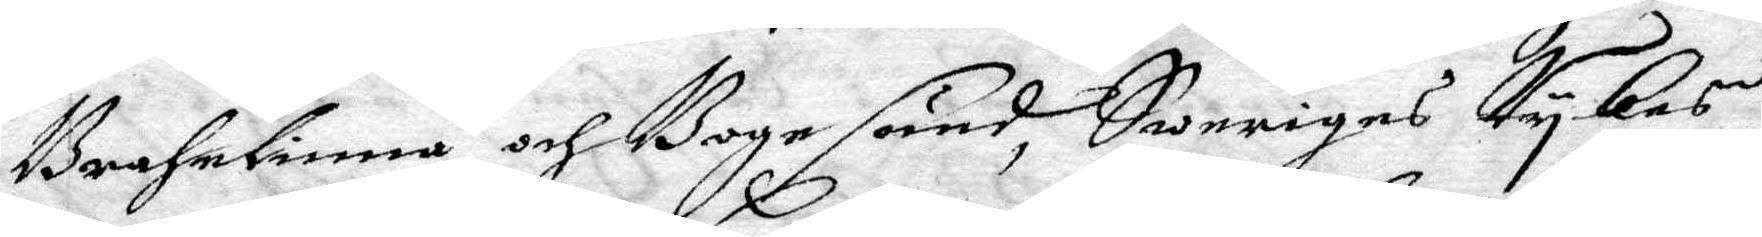Brahelinna och Bogesund, Sweriges Rykes
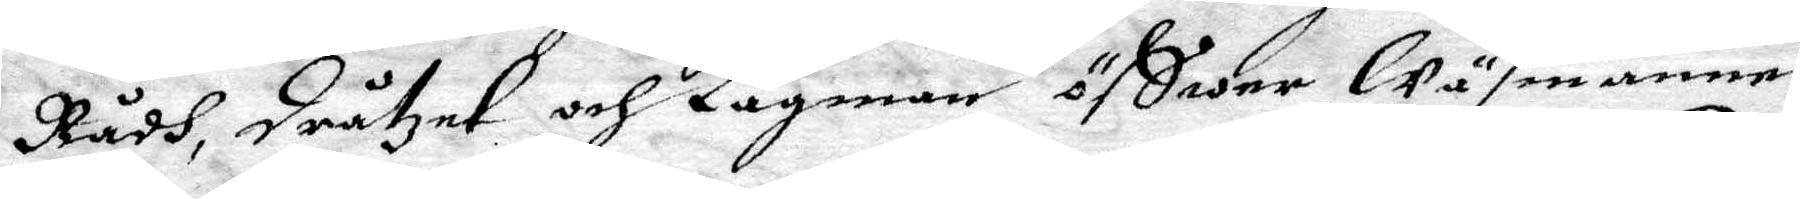Radh, dråtzet och Lagman Öffwer Wäsmanne¬
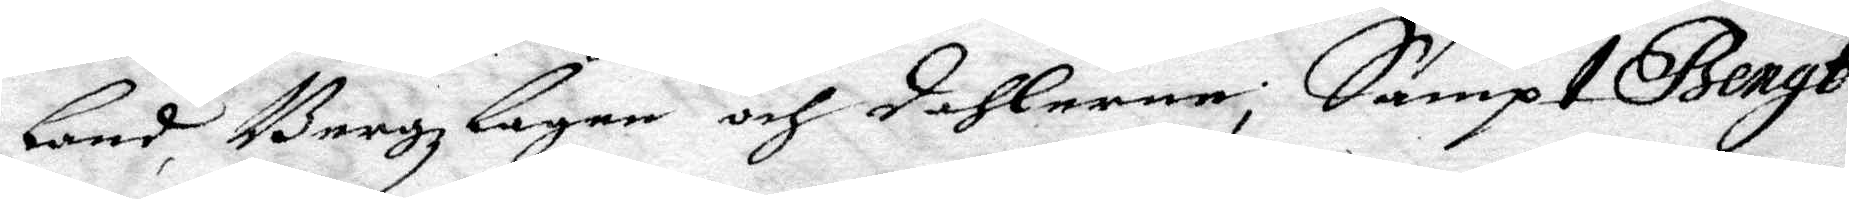land, Bergzlagen och dahlerne; Sampt Bengt
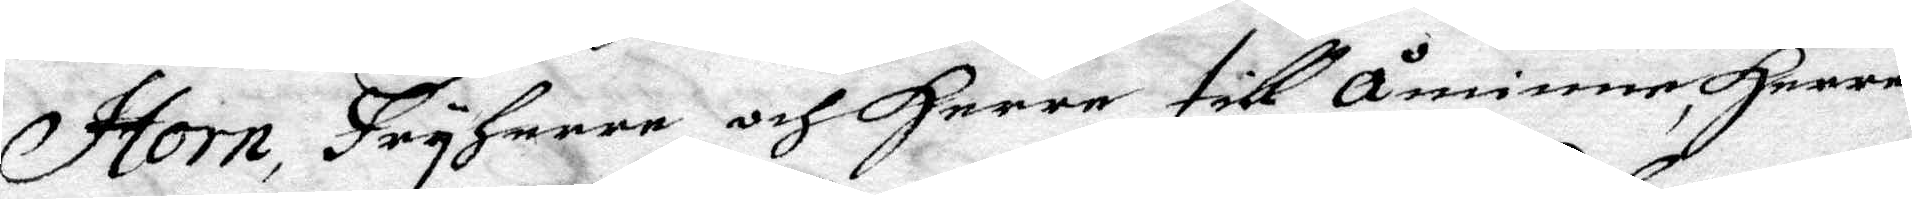Horn, Fryherre och Herre till Åminne, Herre
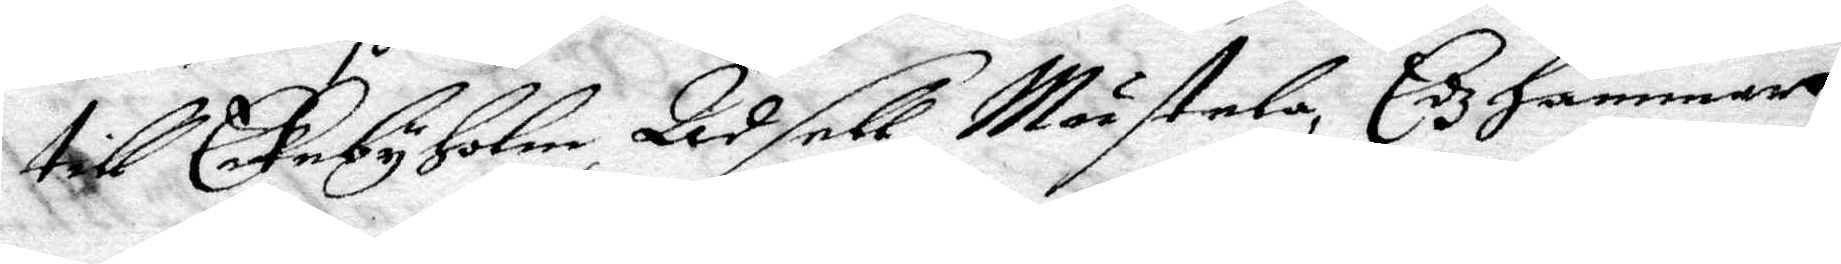till Eekebyholm, Adsett, Mästela, Edzhammar
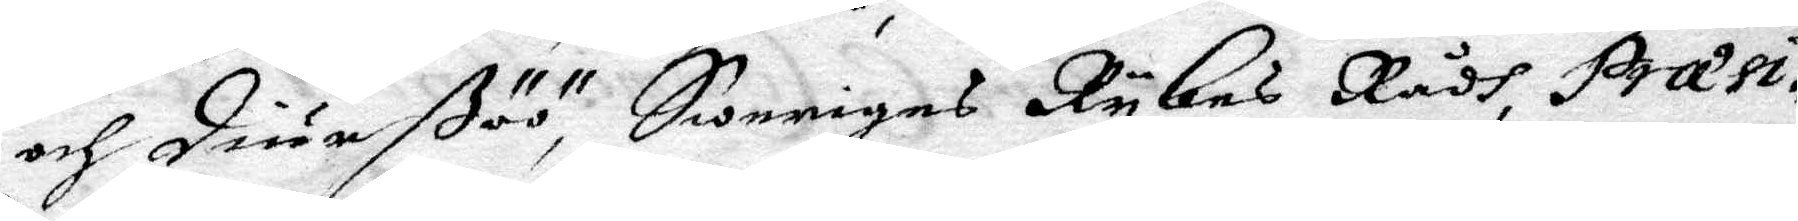och diurßöö, Sweriges Rykes Rådh, Præsi¬
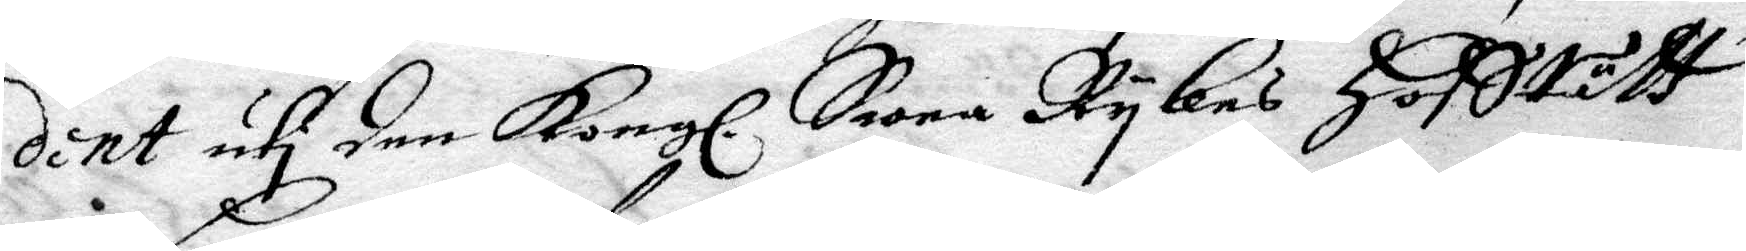dent uti den Kongl. Swea Rykes Hofsrätt
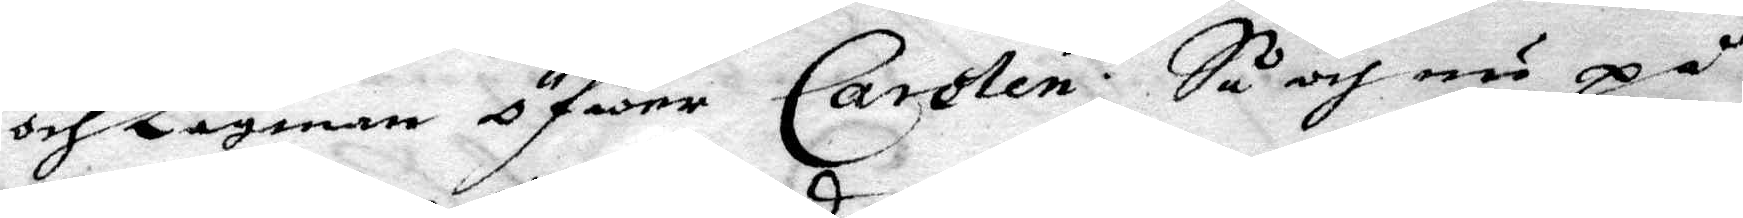och Lagman öfwer Carolen; Så och nu på
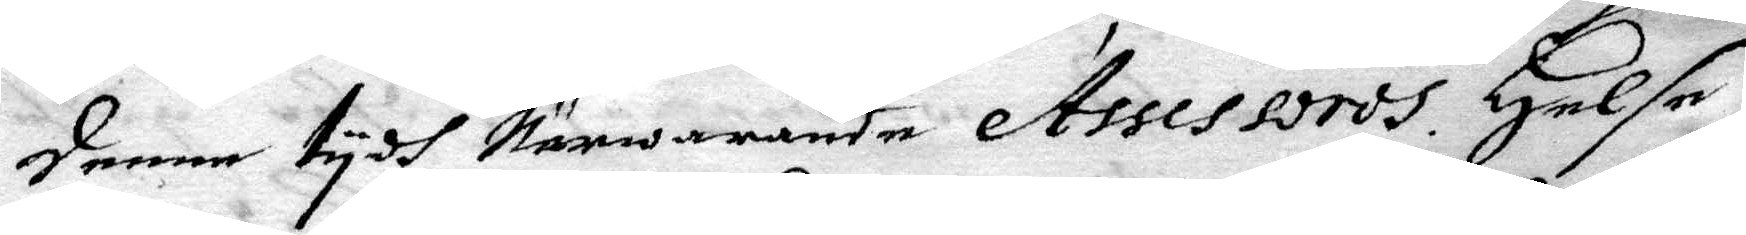denne tydh Närwarande Assessordh. Helse
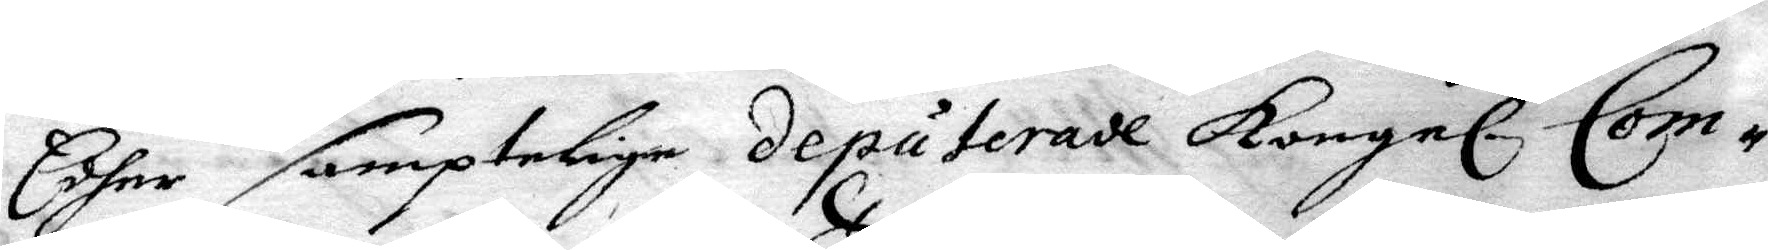Edher samptelige deputerade Kongel. Com¬
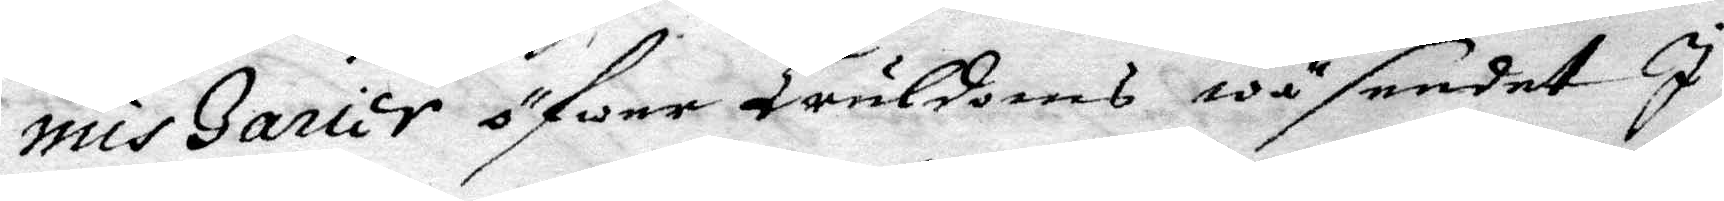miszarier öfwer Truldoms wäsendet I
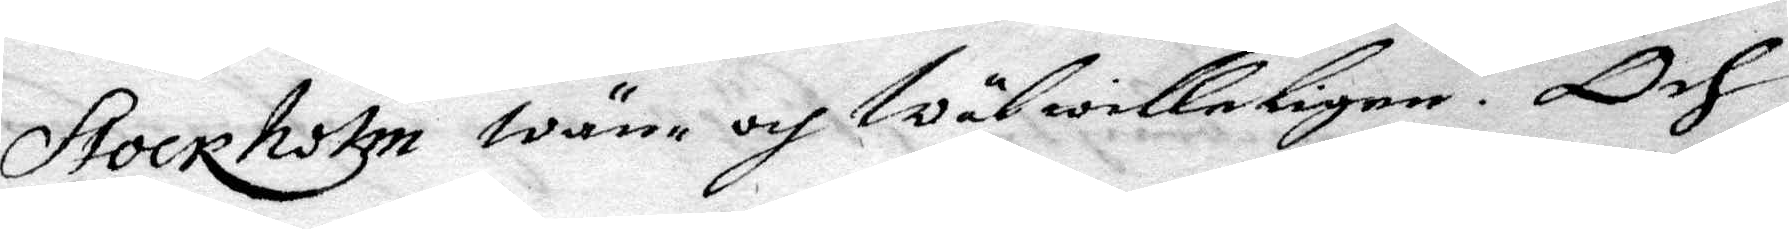Stockholm wän- och wälwilligen. Och
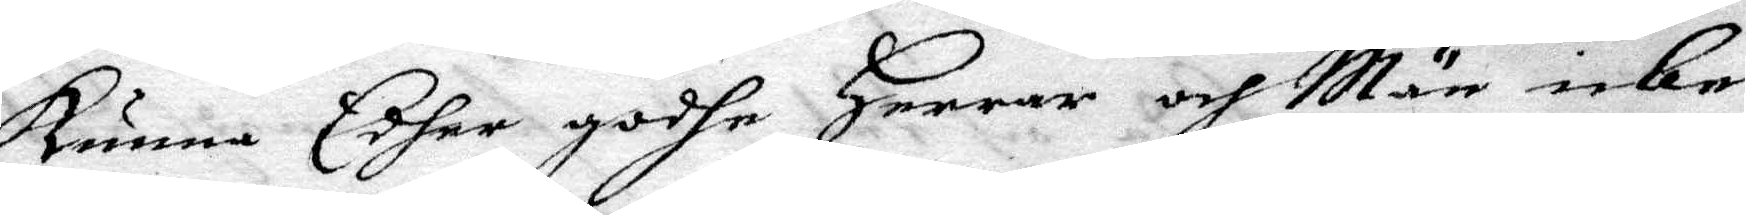kunna Edher godhe Herrar och Män icke
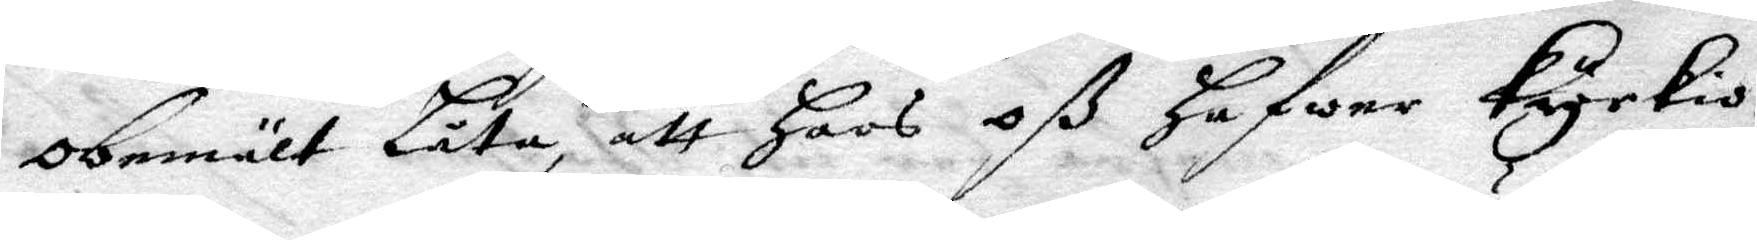obemält Låta, att Hoos Oß Hafwer Kyrkio¬
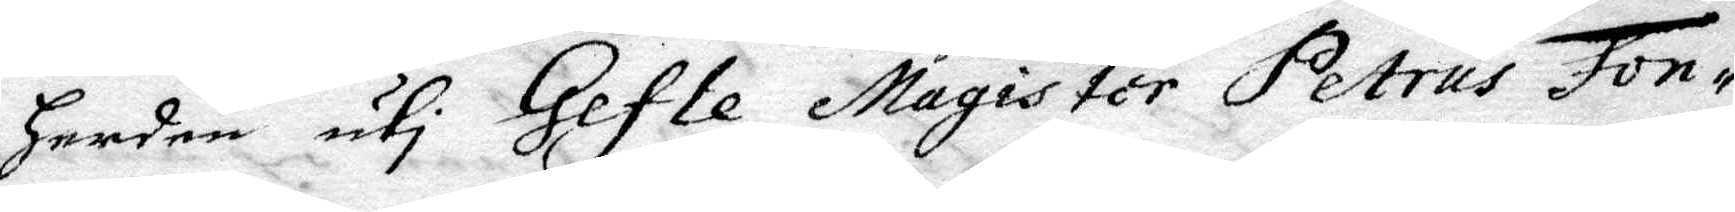herden uti Gefle, Magister Petrus Fon¬
